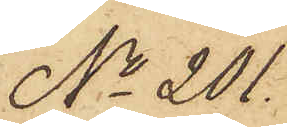No 201.
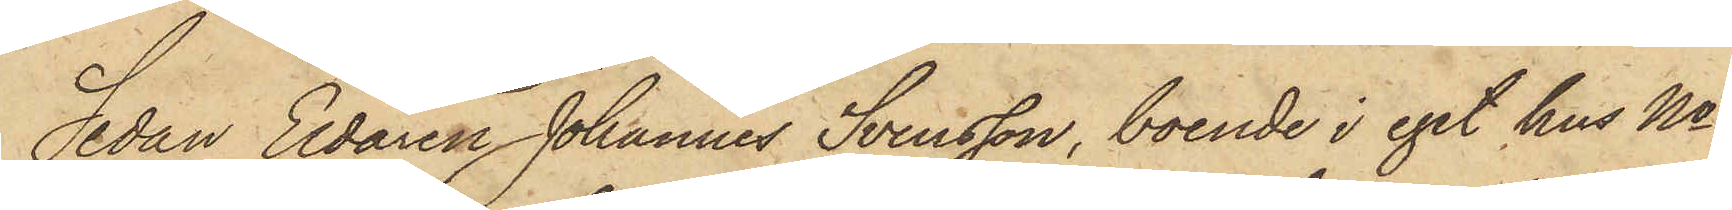Sedan Eldaren Johannes Svensson, boende i eget hus No
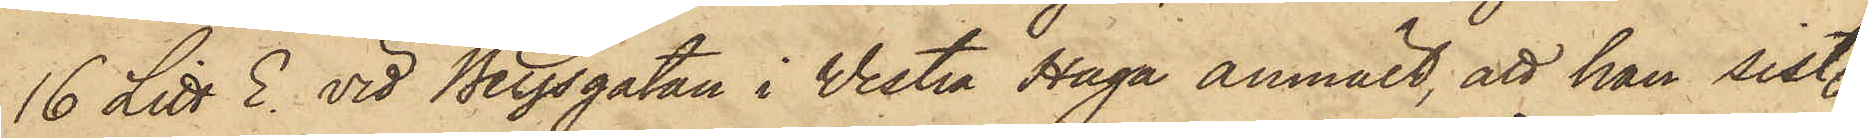16 Litt E. vid Bergsgatan i Vestra Haga anmält, att han sist.
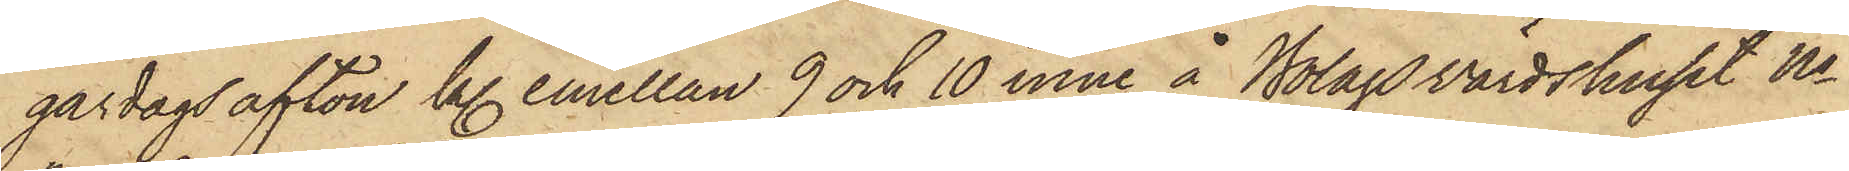gårdags afton kl. emellan 9 och 10 inne å Bolagsvärdshuset No
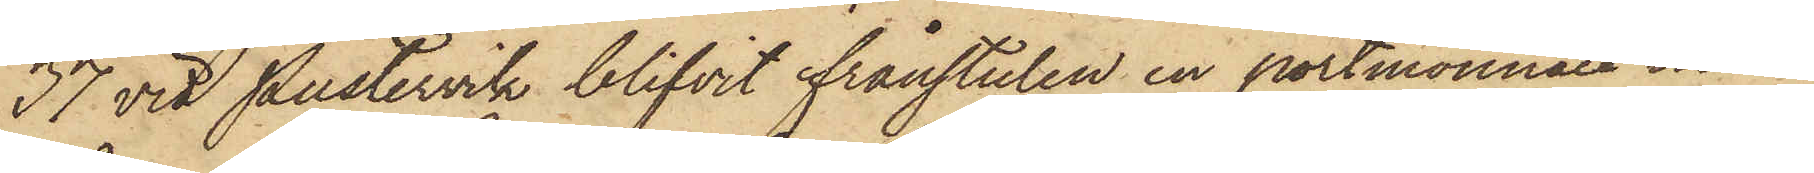37 vid Pustervik blifvit frånstulen en portmonnaie inne¬
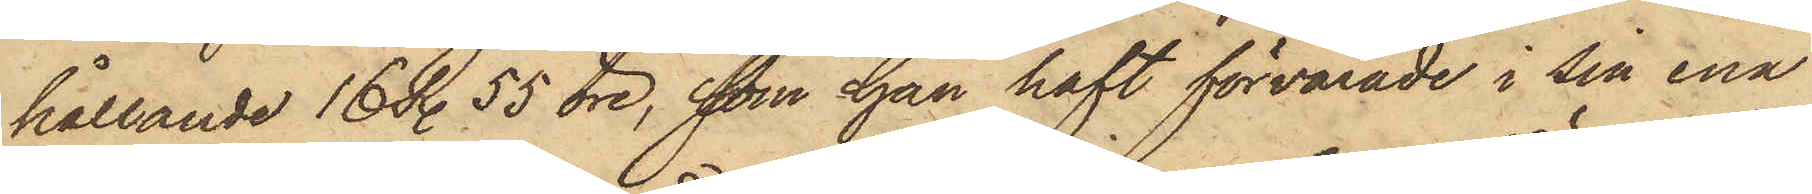hållande 16 R. 55 öre, som han haft förvarade i sin ena
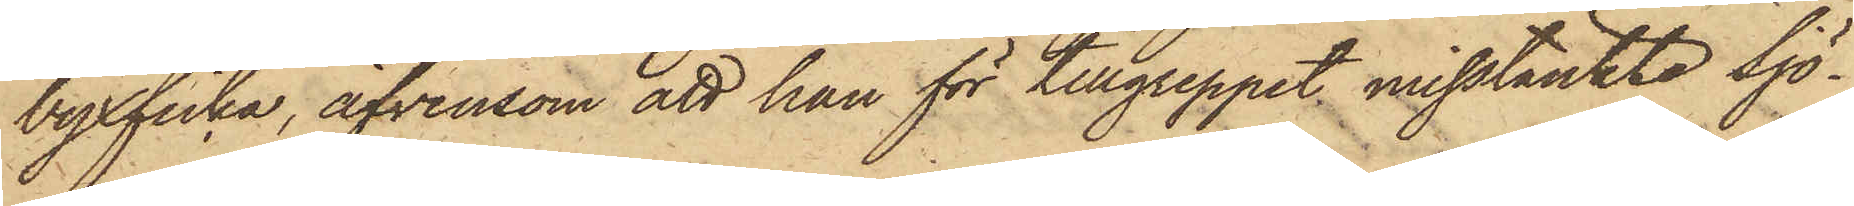byxficka, äfvensom att han för tillgreppet misstänkte Sjö¬
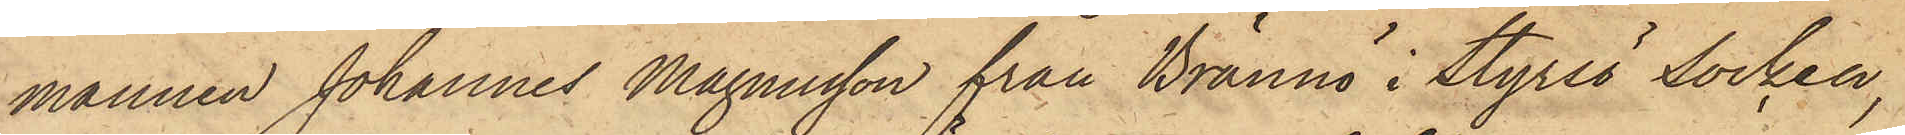mannen Johannes Magnusson från Brännö i Styrsö Socken,
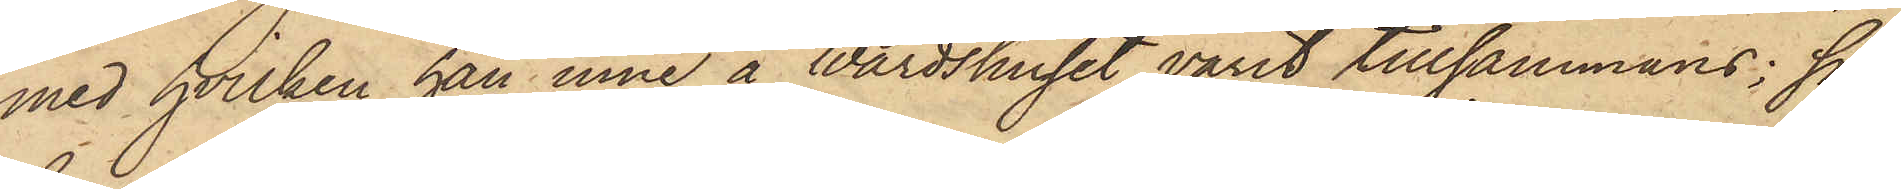med hvilken han inne å Wärdshuset varit tillsammans; så
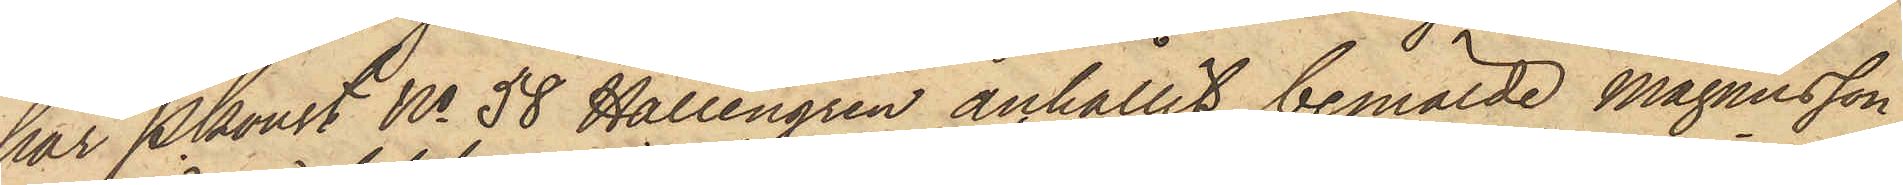har Pkonst No 58 Hallengren anhållit bemälde Magnusson
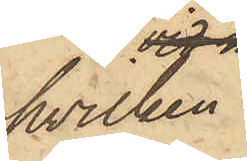hvilken
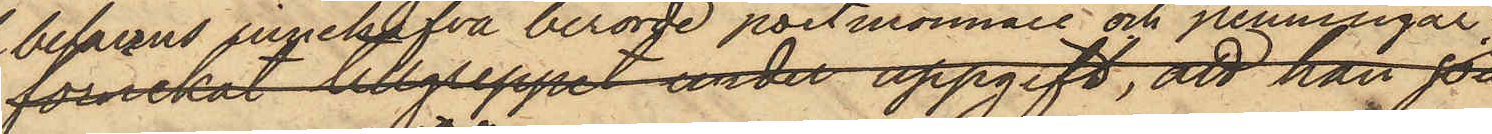befanns innehafva berörde portmonnaie och penningar;
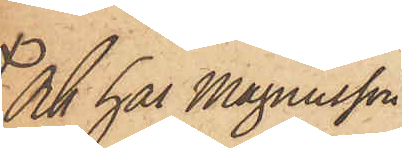Och har Magnusson
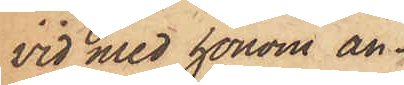vid med honom an¬
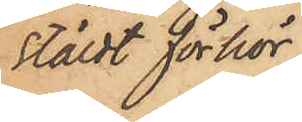stäldt förhör,
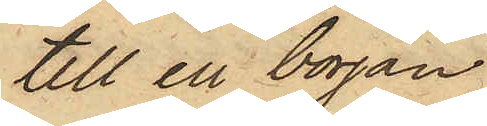till en början
